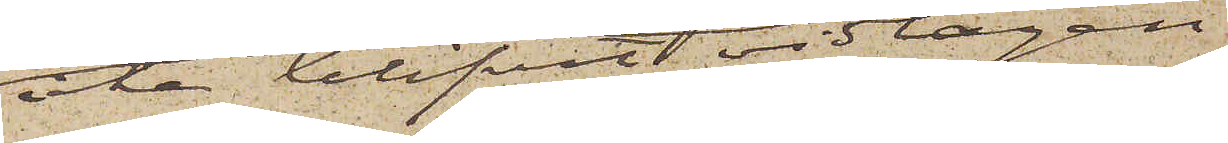icke blifvit vidtagen.
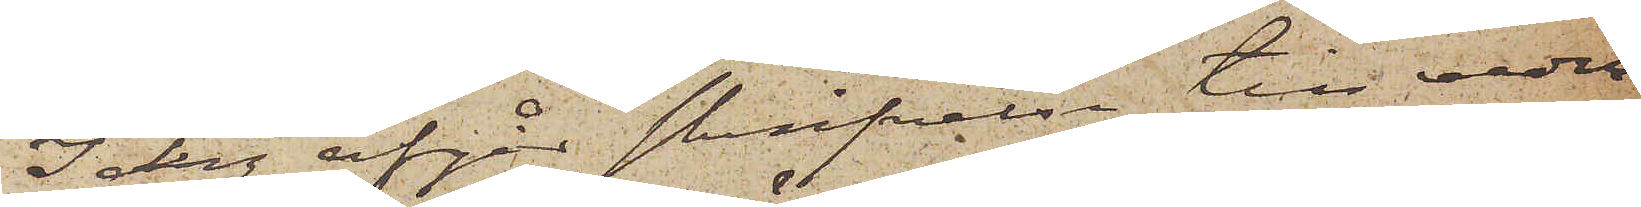I dag afgår skrifvelse till veder¬
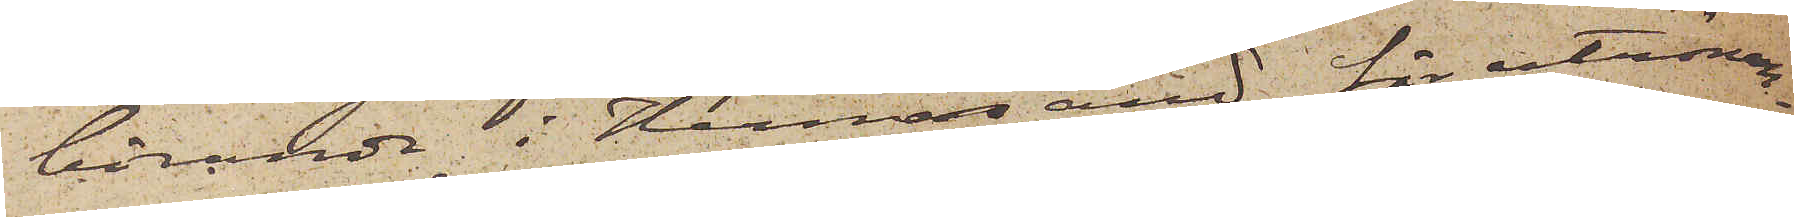börande i Hernösand för utrönan¬
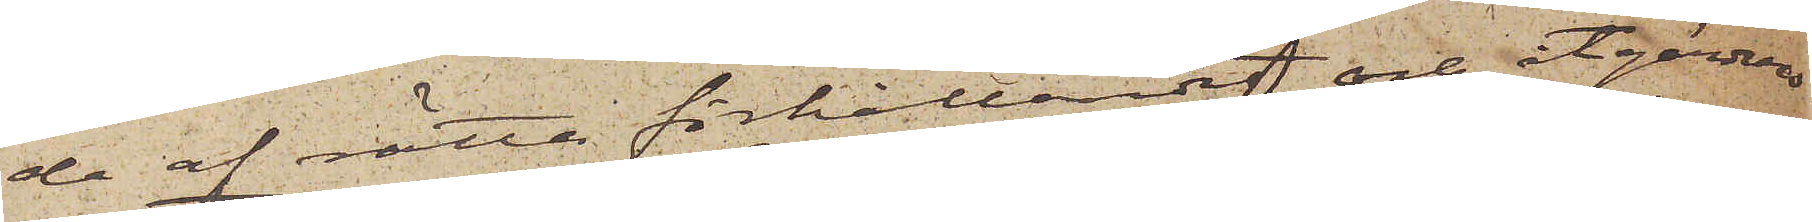de af rätta förhållandet och åtgärders
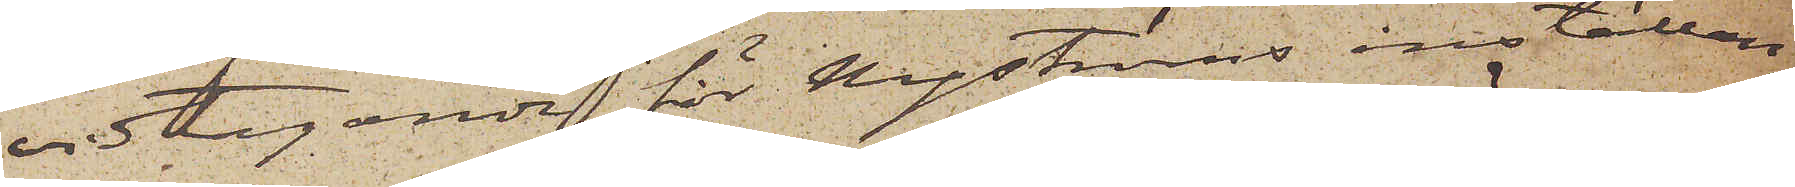vidtagande för Nyströms inställan¬
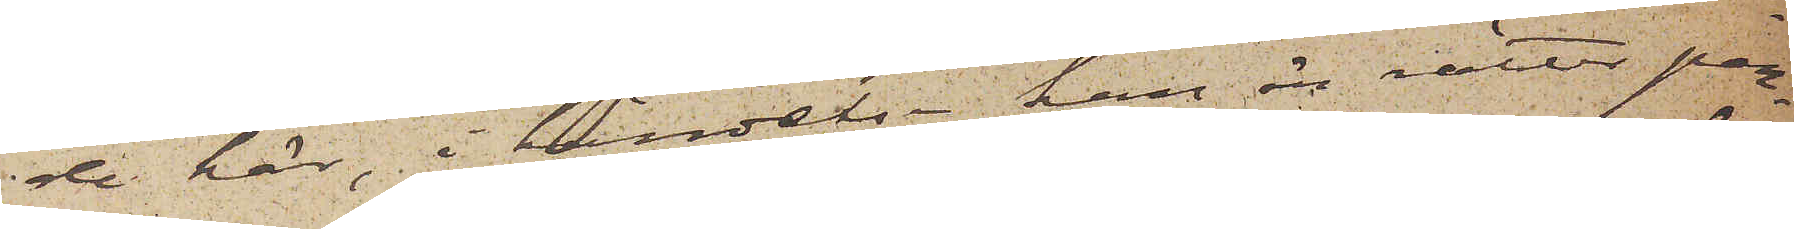de här, i händelse han är rätter per¬
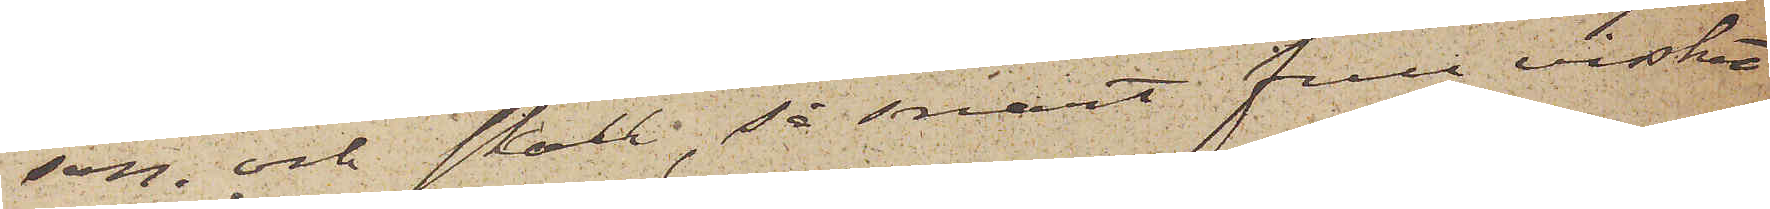son, och skall, så snart full visshet
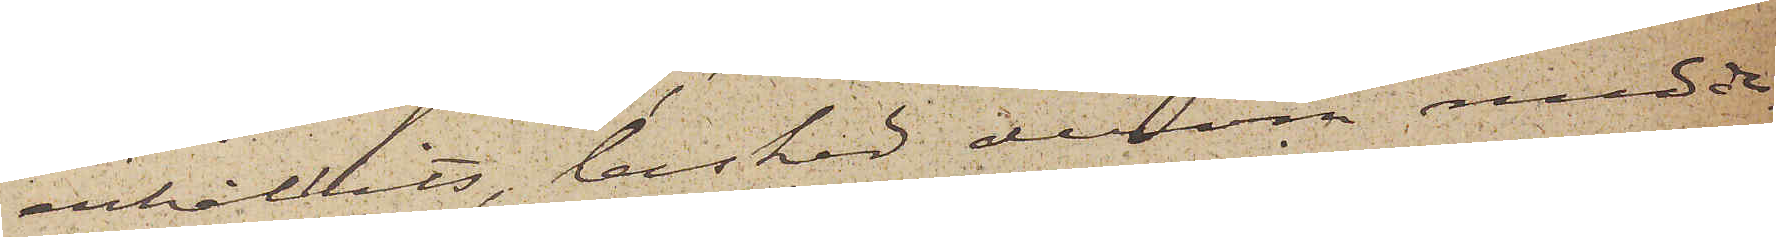erhållits, besked derom medde¬
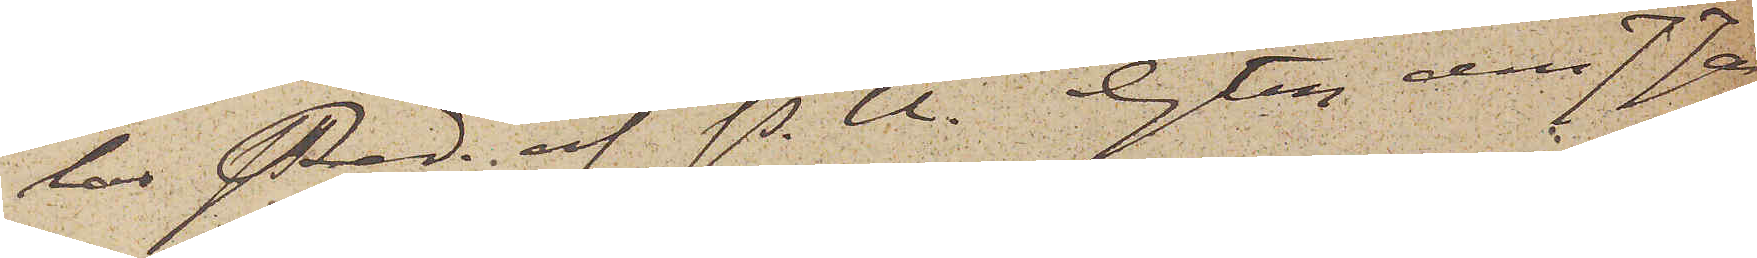las Red. af P. U. Gtbg den 7 Ja¬
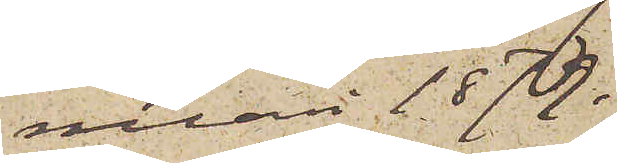nuari 1879.
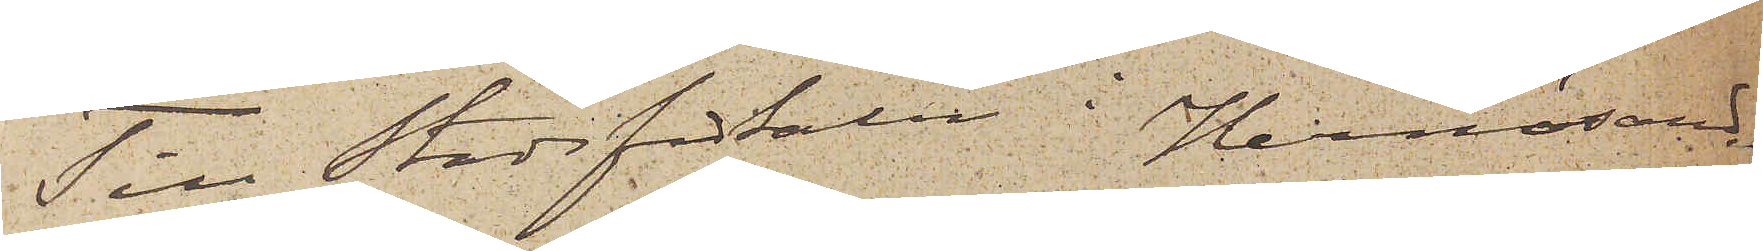Till Stadsfiskalen i Hernösand.
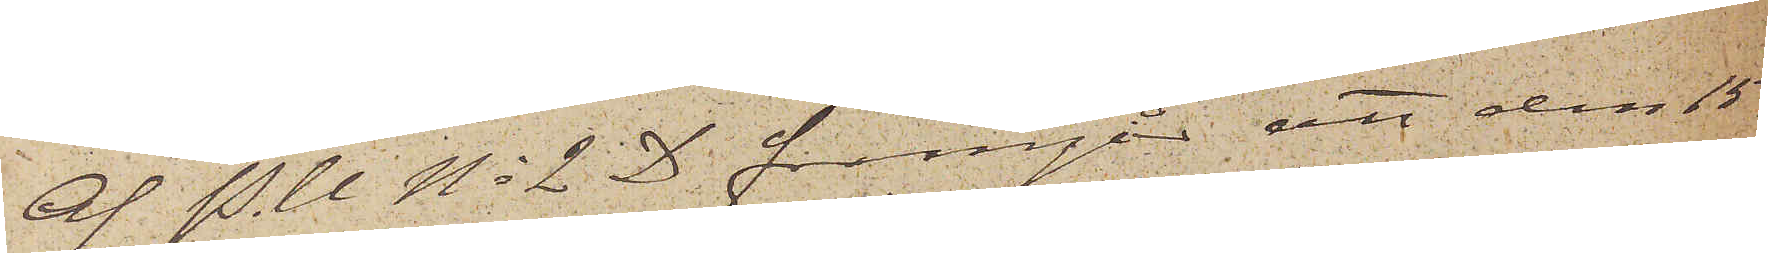Af P. U No 2 D framgår att den 15
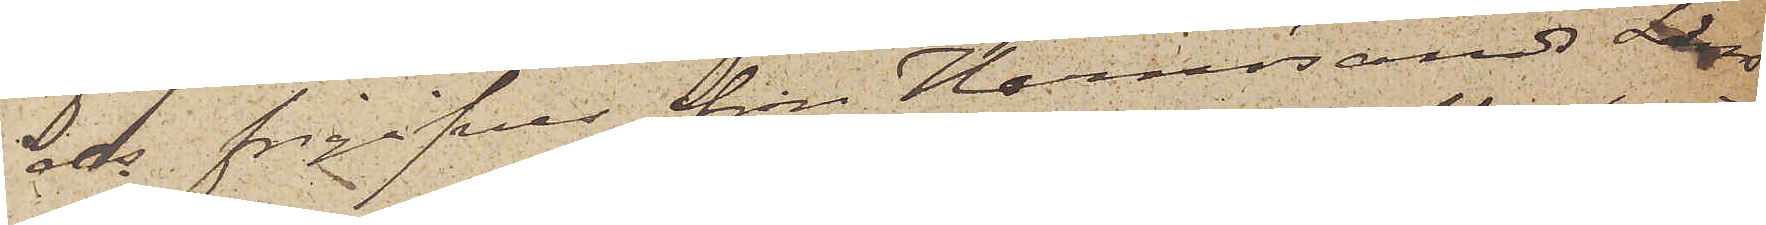ds frigifves från Hernösands Läns 
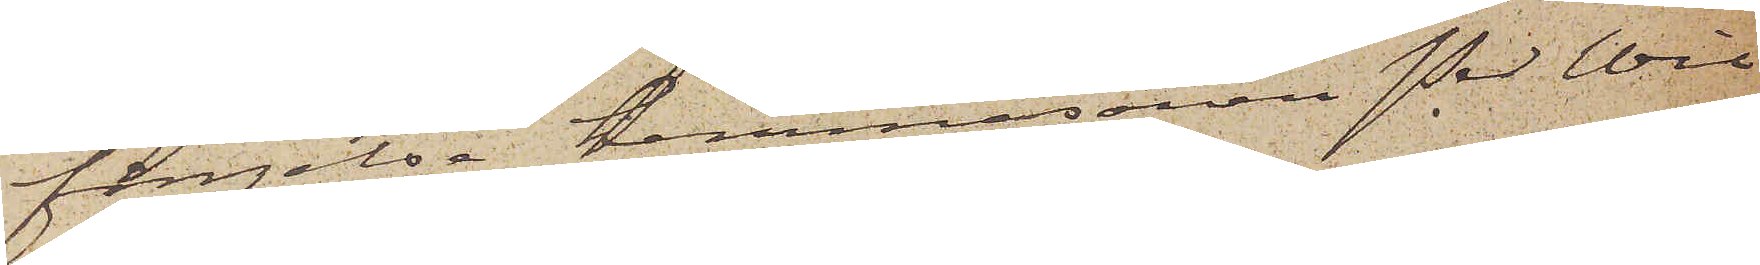fängelse hemmasonen Per Wil¬
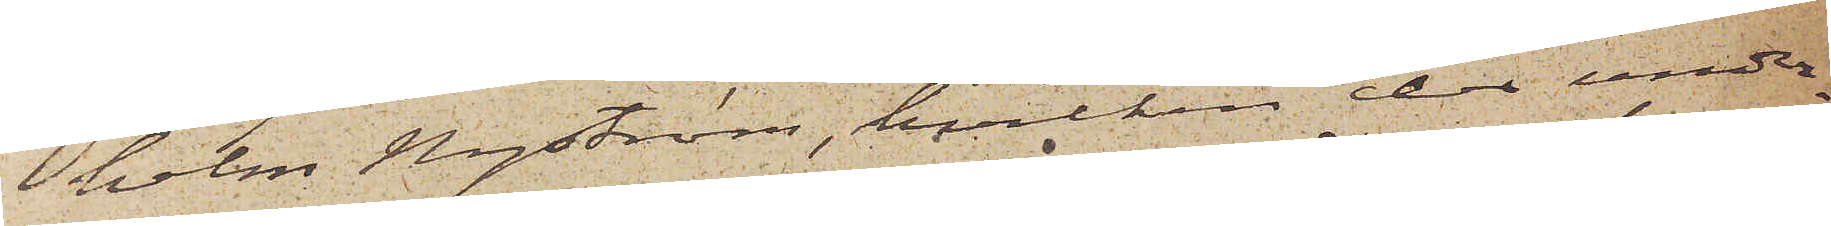helm Nyström, hvilken der under¬
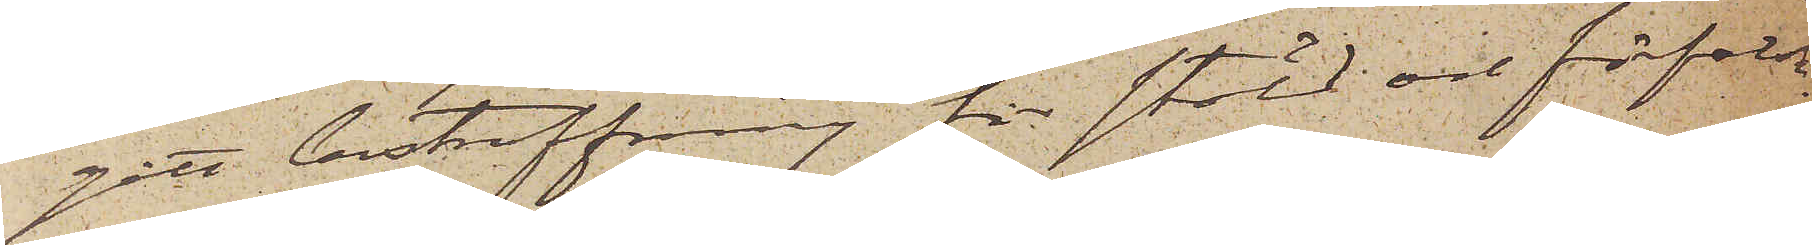gått bestraffning för stöld och förfalsk¬
